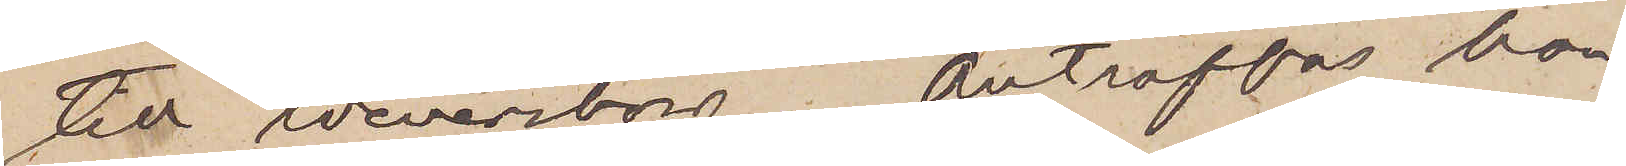till Wenersborg. Anträffas hon
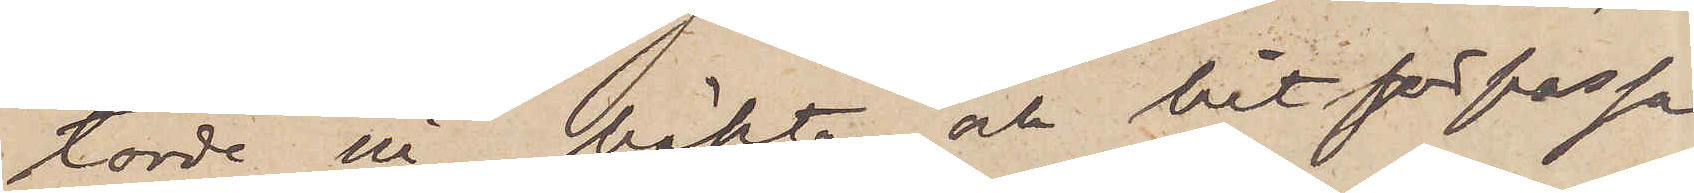torde ni häkta och hitförpassa
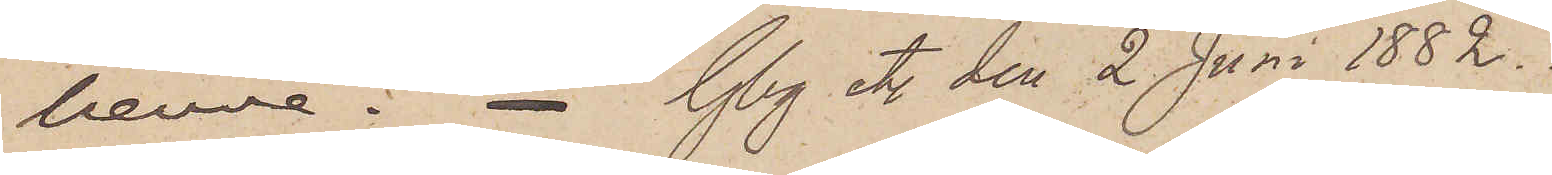henne. Gbg etc den 2 Juni 1882.
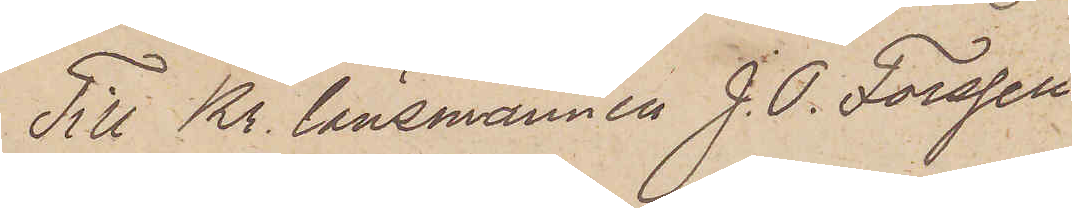Till Kr. länsmannen J. O. Forsell
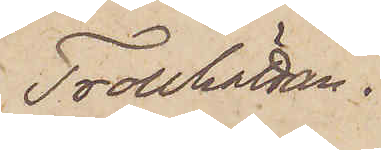Trollhättan.
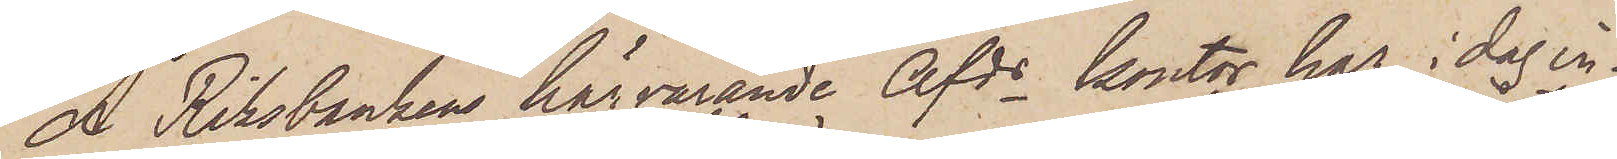Å. Riksbankens härvarande Afds kontor har i dag in¬
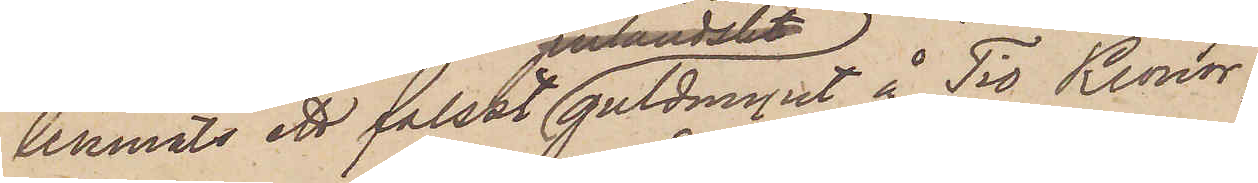lemnats ett falskt guldmynt å Tio Kronor,
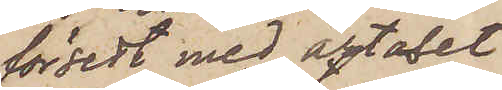försedt med årtalet
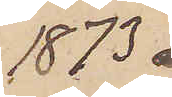1873
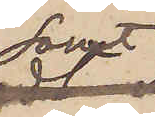samt
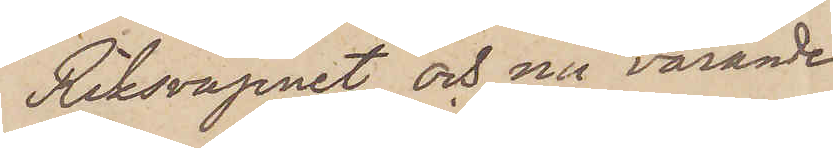Riksvapnet och nu varande
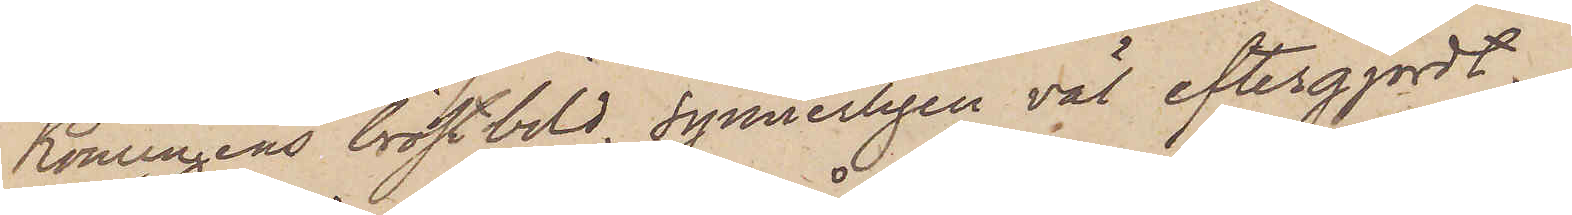Konungens bröstbild, synnerligen väl eftergjordt.
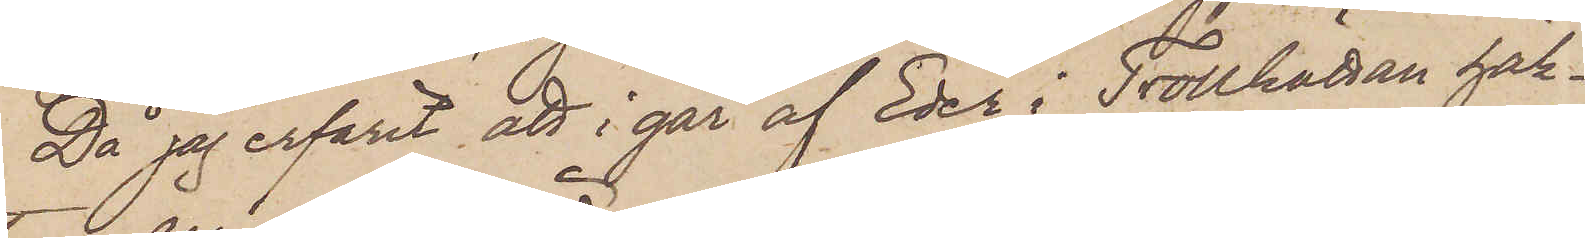Då jag erfarit att i går af Eder i Trollhättan häk¬
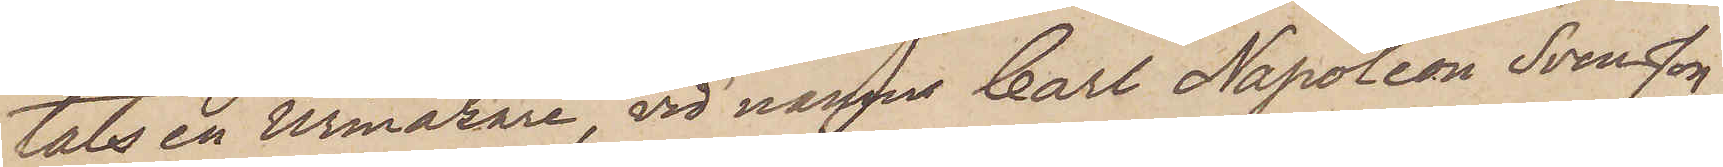tats en Urmakare, vid namn Carl Napoleon Svensson,
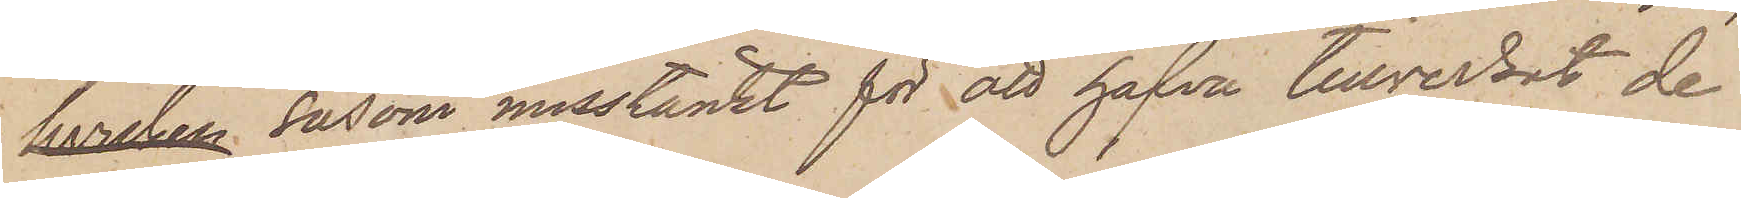 såsom misstänkt för att hafva tillverkat de
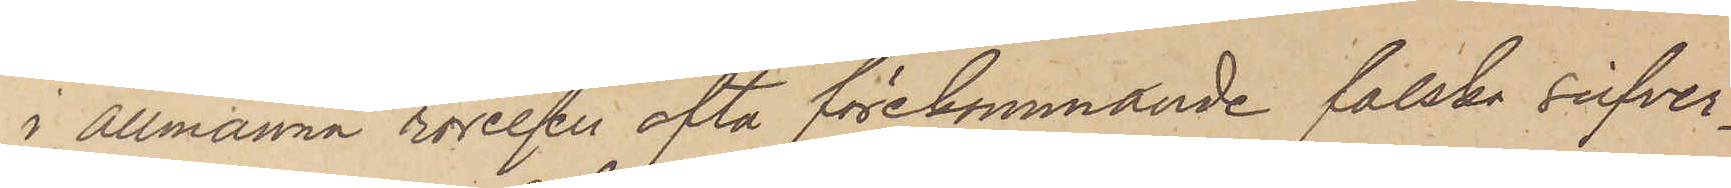i allmänna rörelser ofta förekommande falska silfver¬
